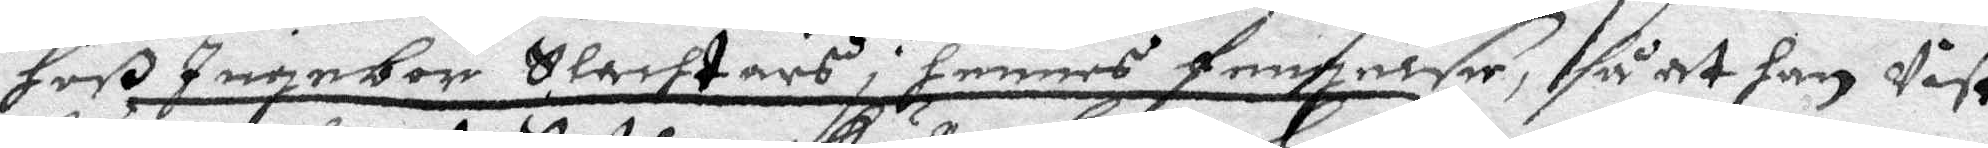Hoß Ingebor Slachtars i hennes fengelse, så at han Vist
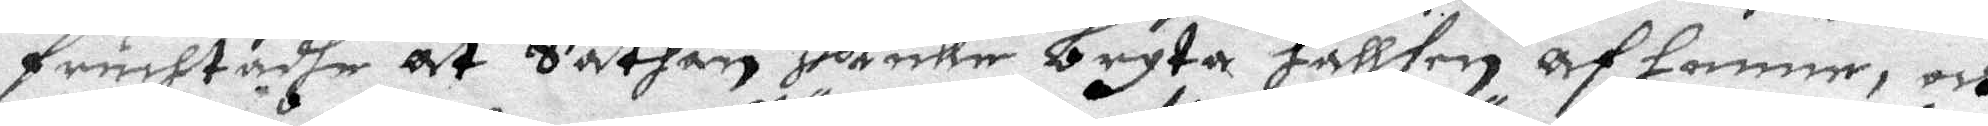fruchtadhe at Sathan skulle bryta hallsen af henne, och
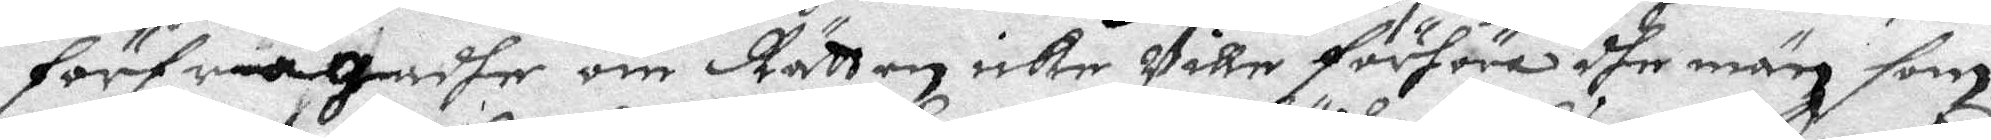förfrågadhe om Rätten icke Ville förhöra dhe män som
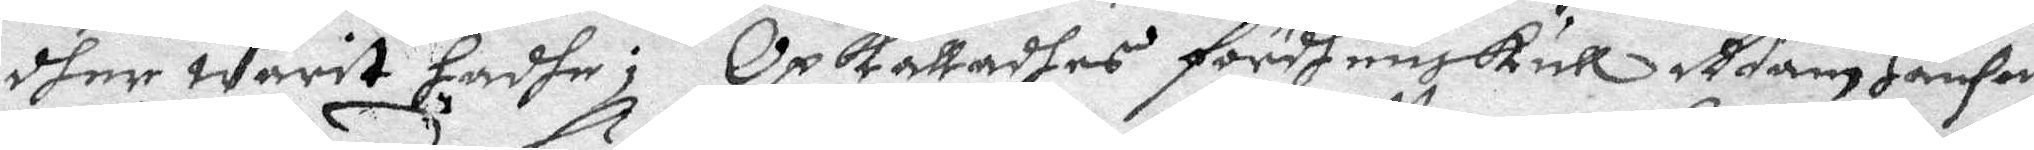dher warit hadhe; Opkalladhes fördhenskull Adam Hanson
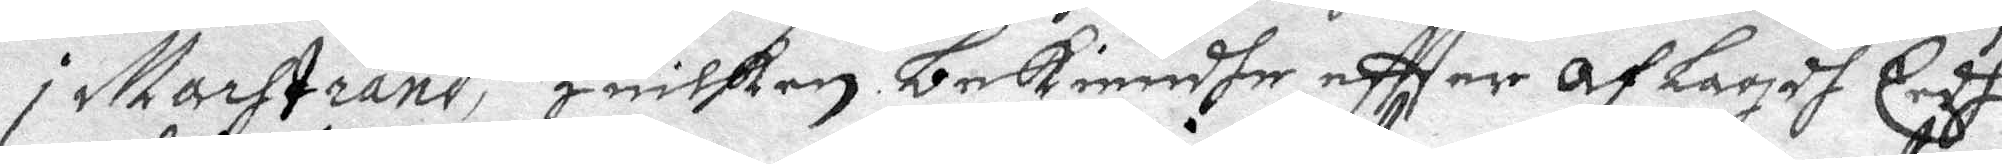i Marstrand, Huilken bekiendhe eftter AfLagdh eedh
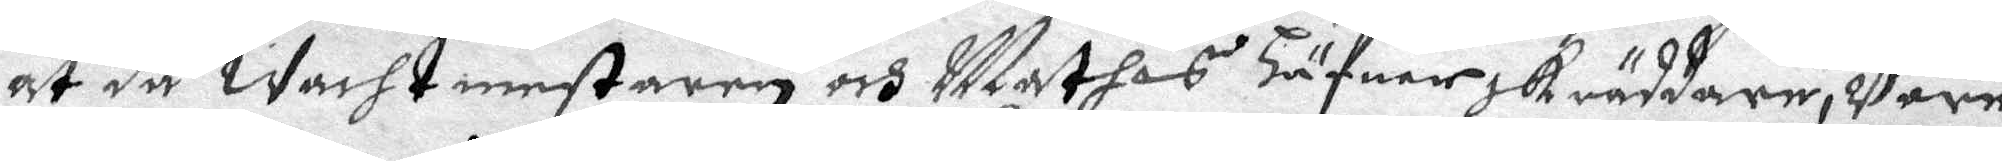at då wachtmestaren och Mathis Häfuer skräddare, Vore
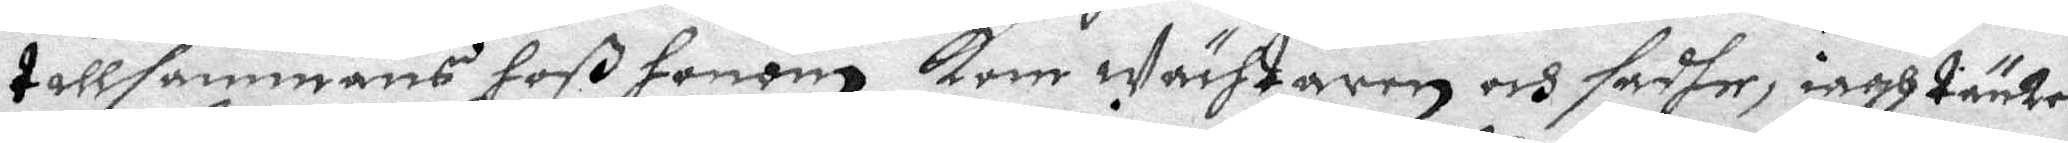tillsammans hoß honom kom wächtaren och sadhe iagh tänker
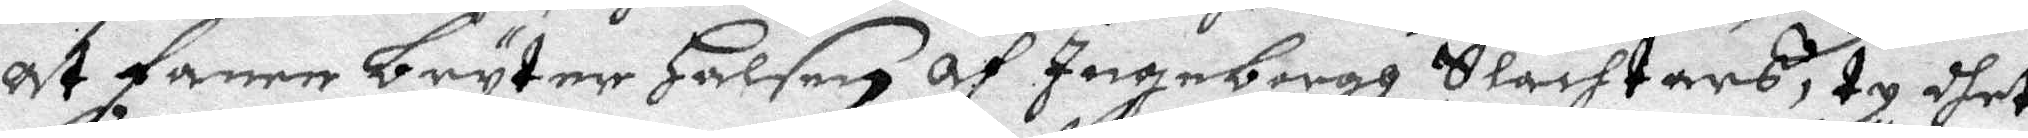At fanen bryter Halsen af Ingeborgh Slachtars, ty dhet
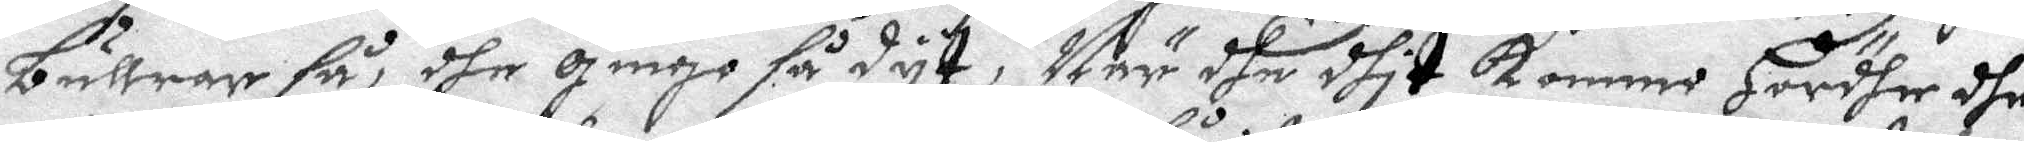bullrar så, dhe gingo så dyt, När dhe dhit kommi Hördhe dhe
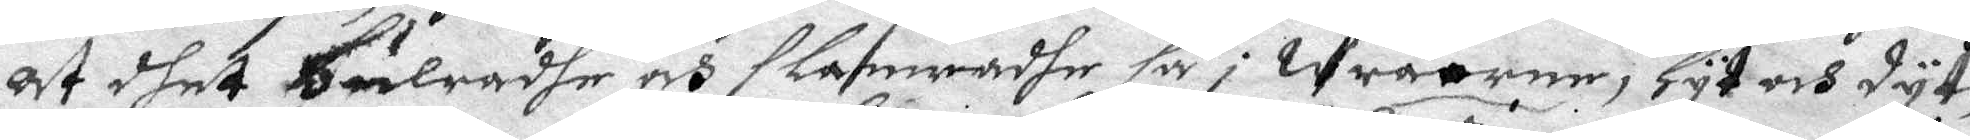at dhet bulradhe och slamradhe så i wräorne, hyt och dyt,
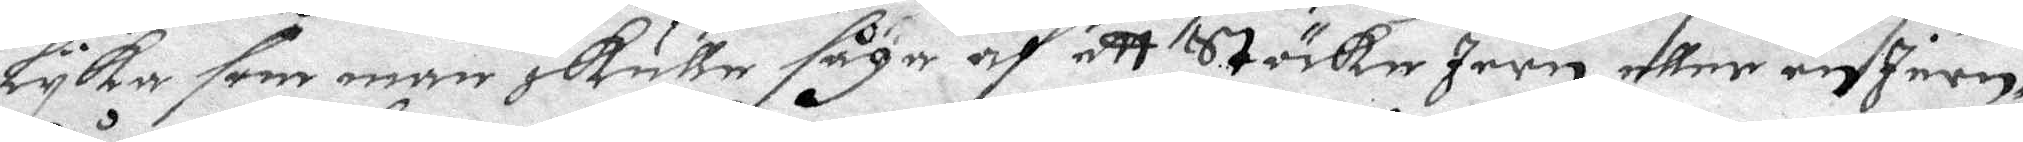Lyka som man skulle såga af ett Stöcke Jern eller en Jern¬
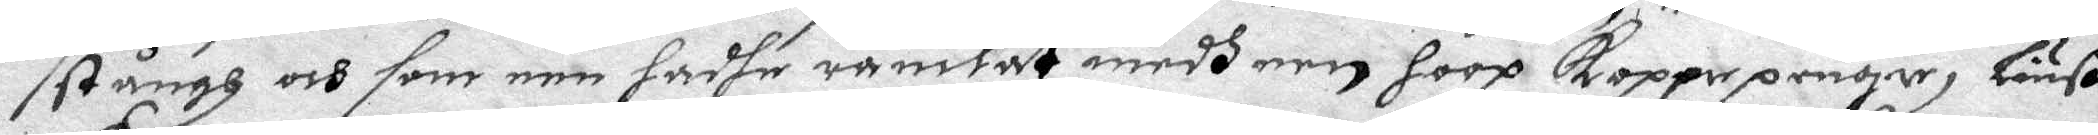stång och som een hadhe ramlat medh een hoop kopperpenger, Liuß
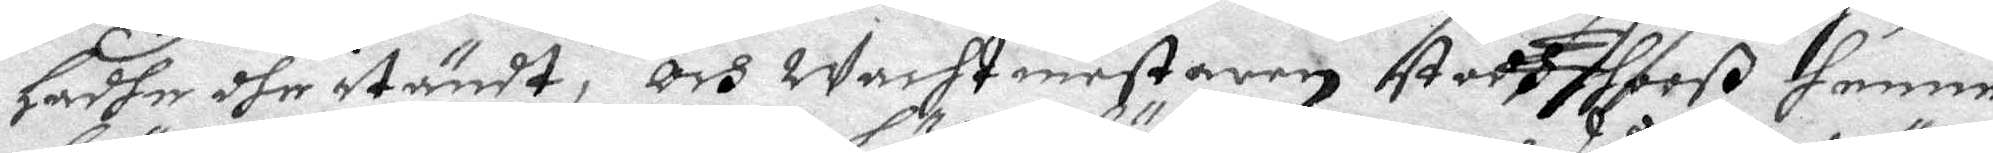Hadhe dhe itändt, och wachtmestaren stodh hooß henne
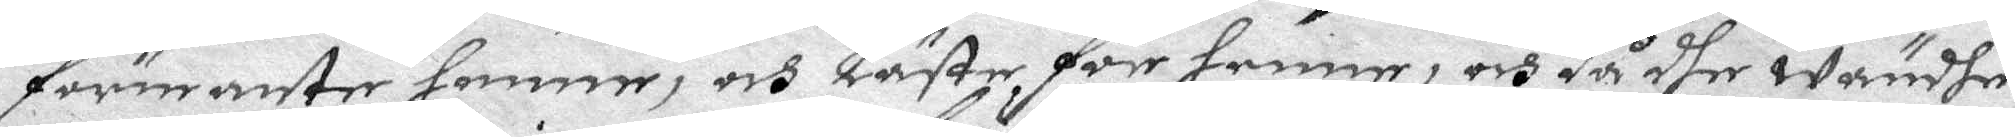förmante henne, och Läste för henne, och då dhe wändhe
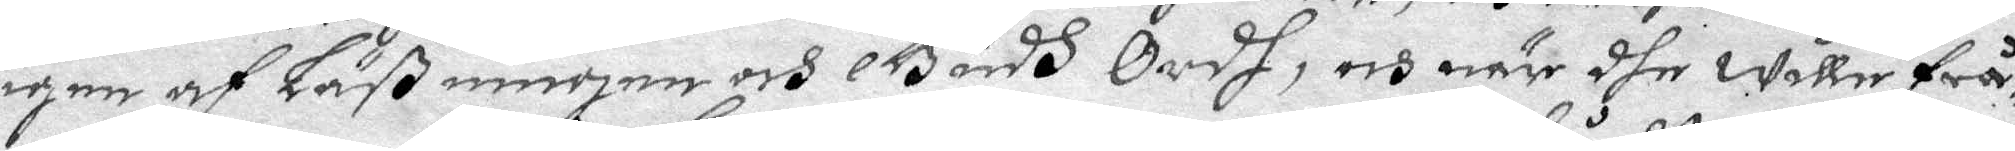igen af LäVningen och Gudh Ordh, och när dhe wille frå¬
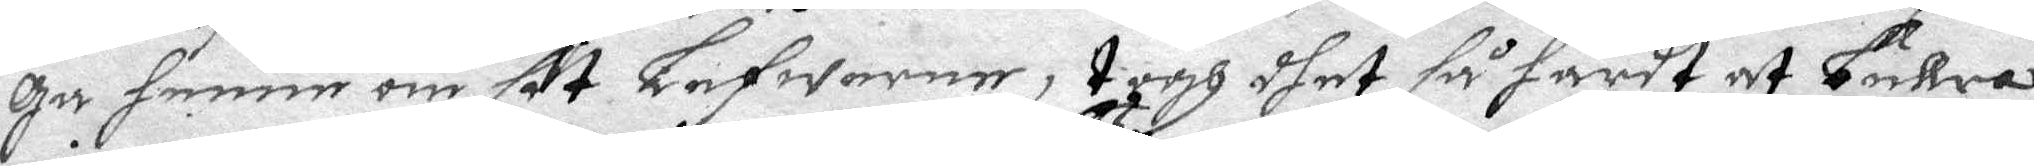ga henne om sit Lefworne, togh dhet så hårdt at bullra
